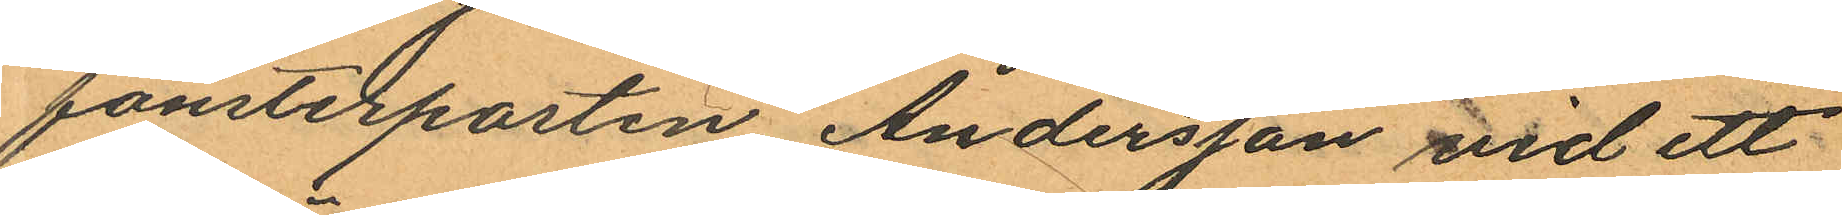fönsterposten Andersson vid ett
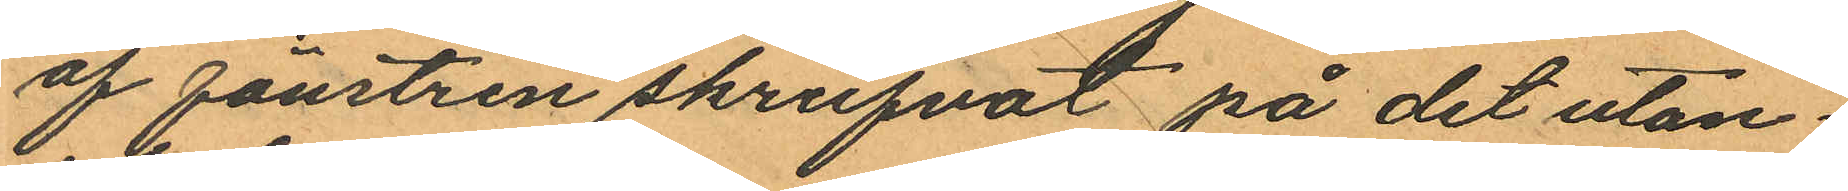af fönstren skrufvat på det utan¬
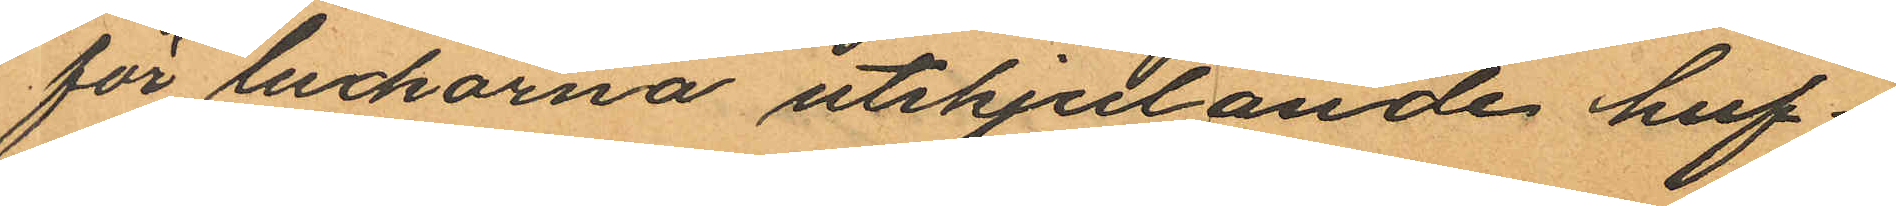för luckorna utskjutande huf¬
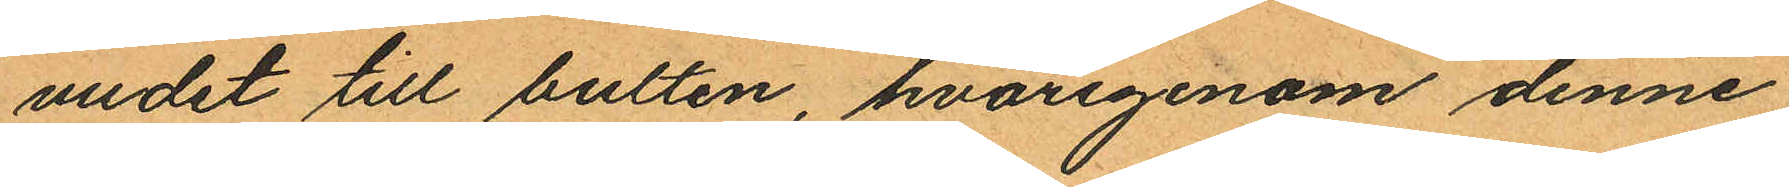vudet till bulten, hvarigenom denne
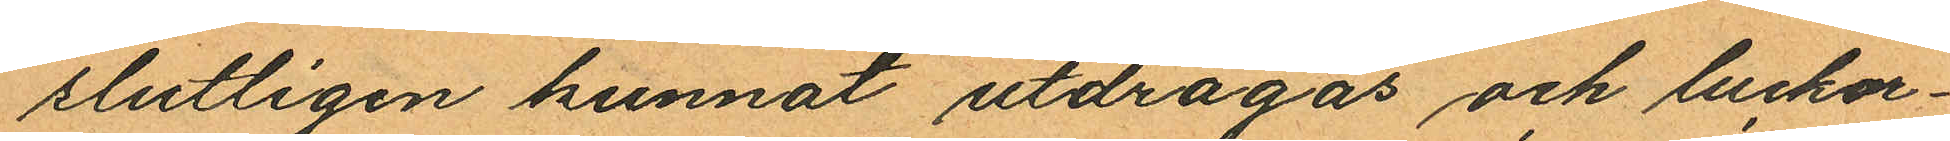slutligen kunnat utdragas och luckor¬
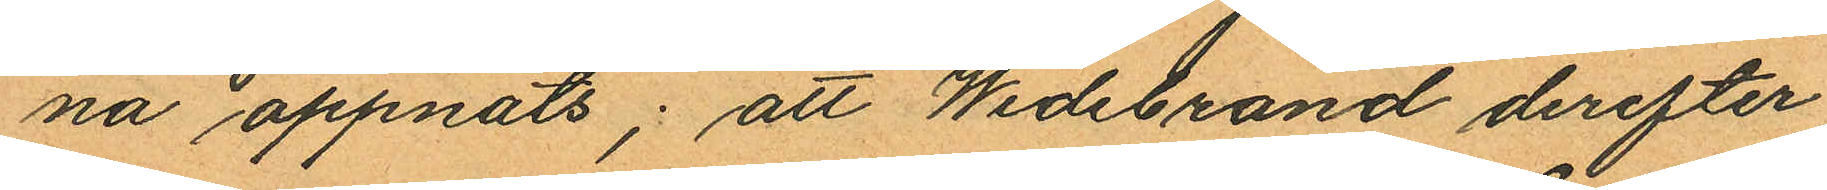na öppnats; att Wedebrand derefter
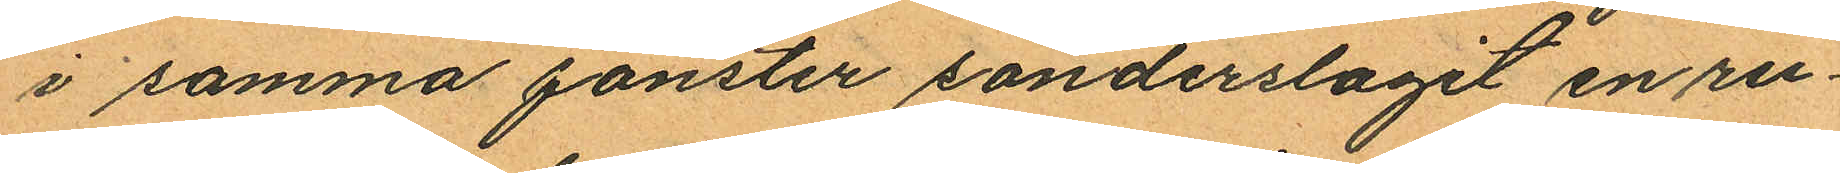i samma fönster sönderslagit en ru¬
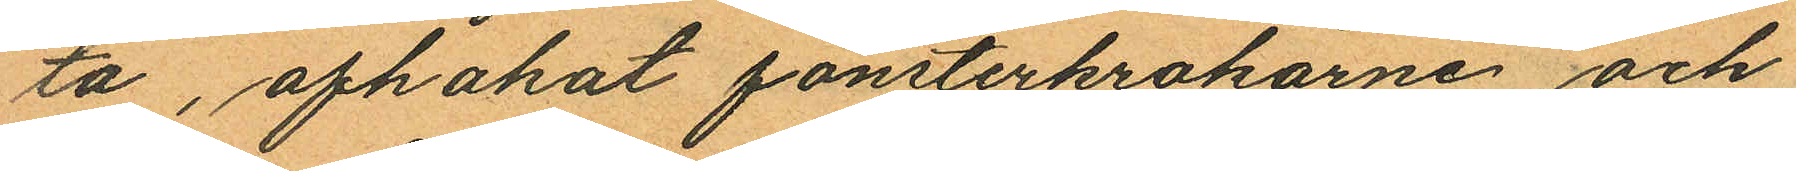ta, afhakat fönsterkrokarne och
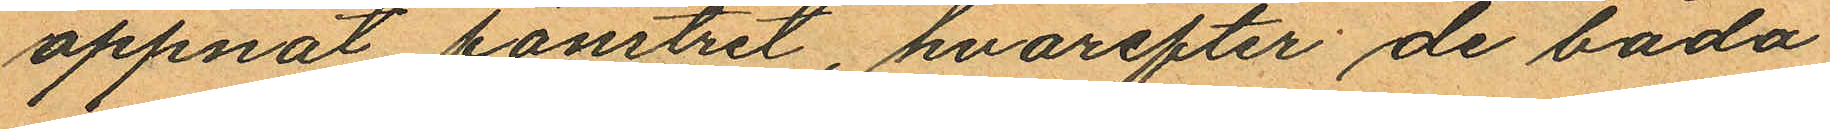öppnat fönstret, hvarefter de båda
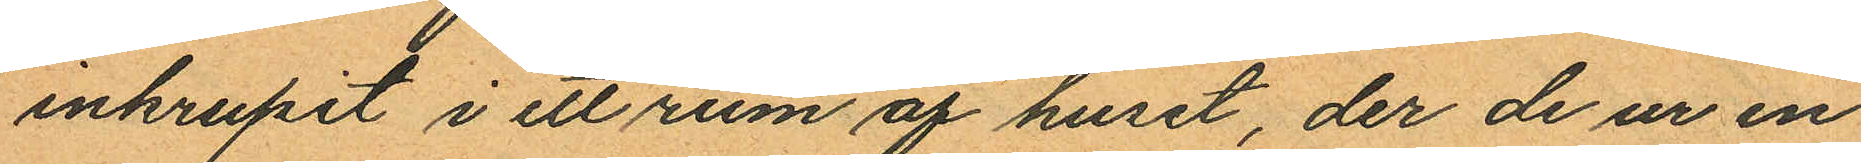inkrupit i ett rum af huset, der de ur en
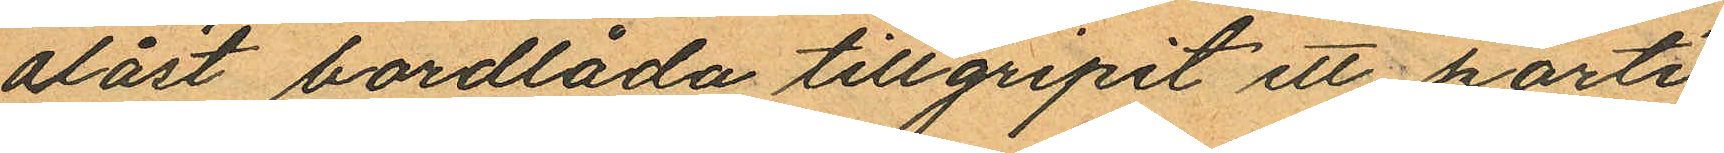olåst bordlåda tillgripit ett parti
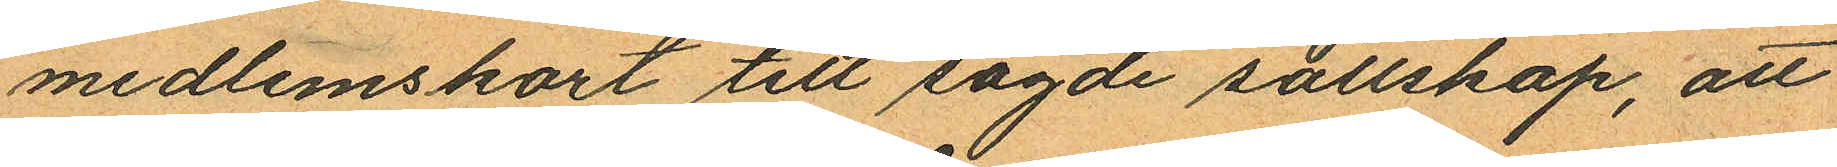medlemskort till sagde sällskap, att
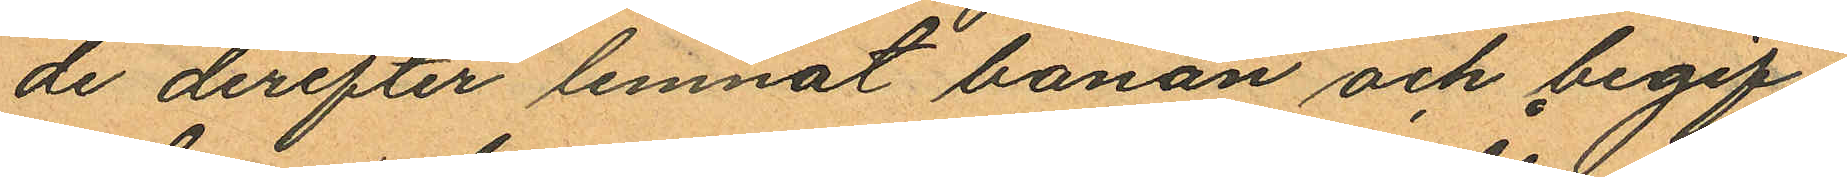de derefter lemnat banan och begif¬
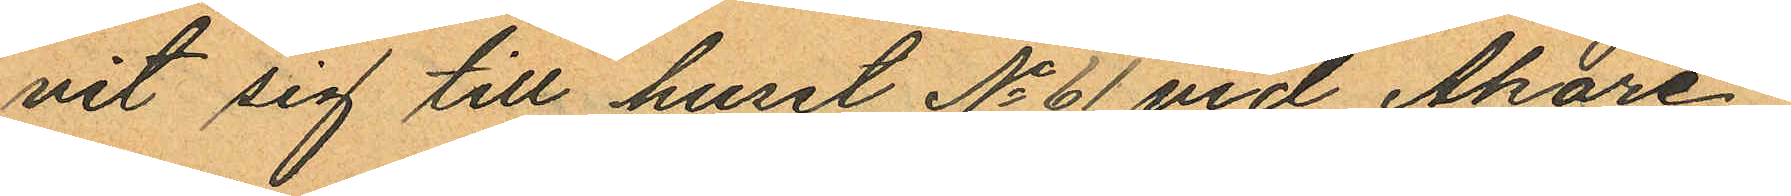nit sig till huset No 61 vid Åkare¬
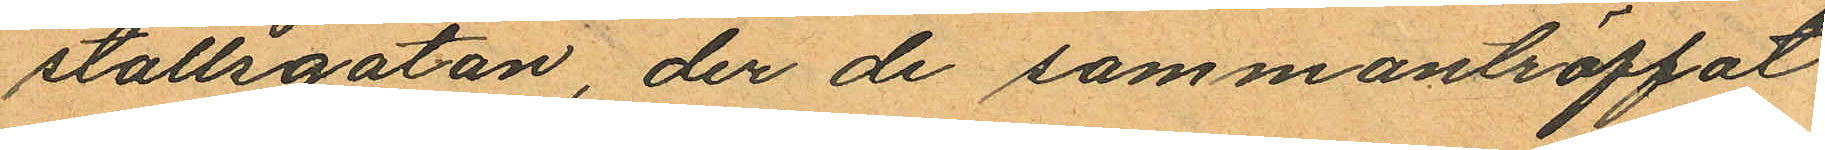stallsgatan, der de sammanträffat
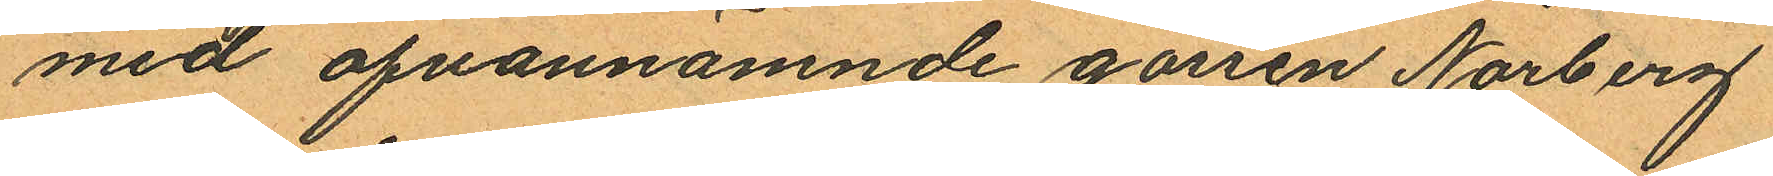med ofvannämnde gossen Norberg
